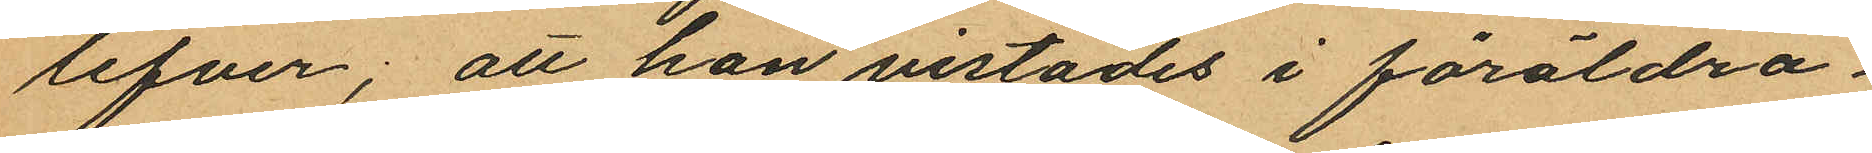lefver; att hon vistades i föräldra¬
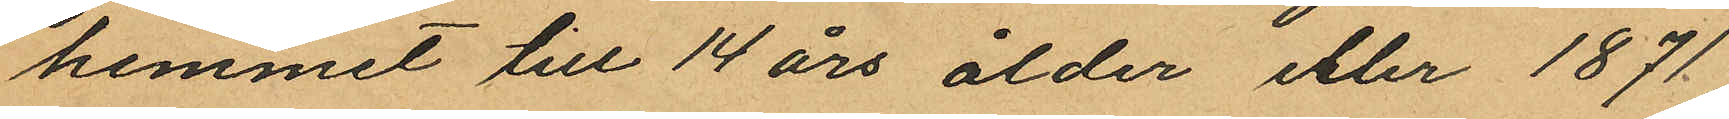hemmet till 14 års ålder eller 1871;
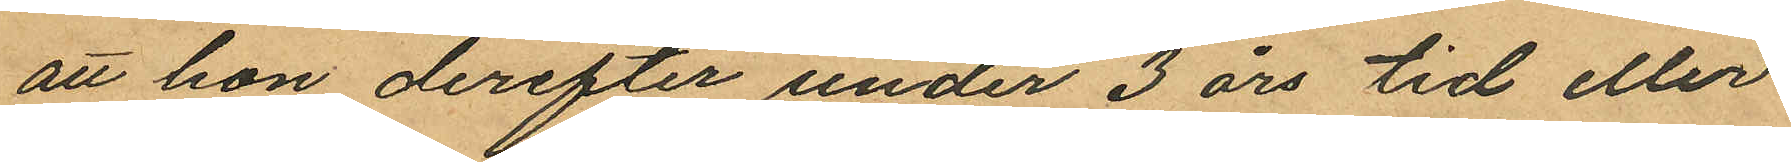att hon derefter under 3 års tid eller
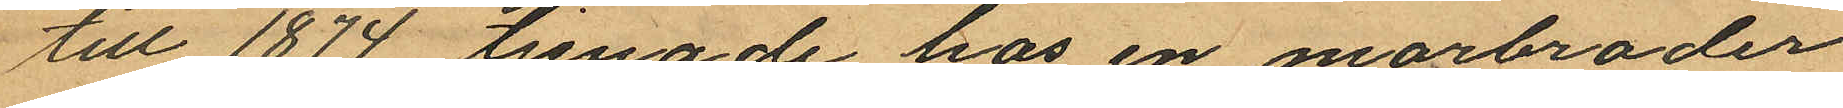till 1874 tjenade hos en morbroder
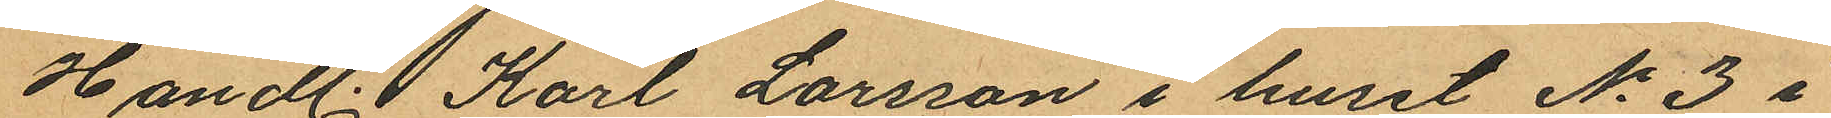Handl. Karl Larsson i huset No 3 i
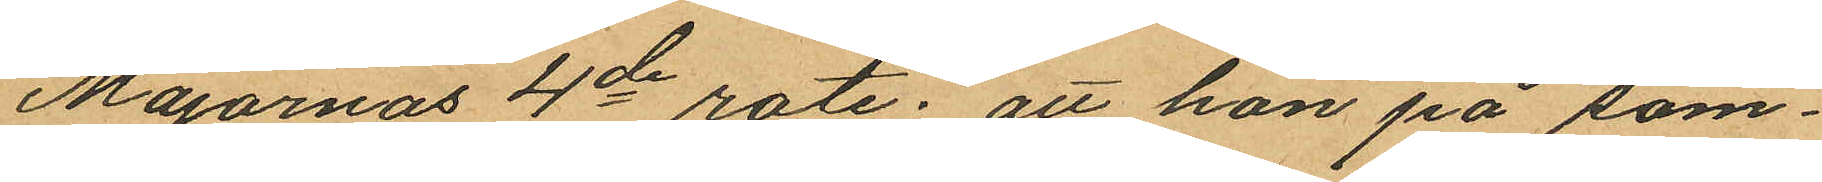Majornas 4de rote; att hon på som¬
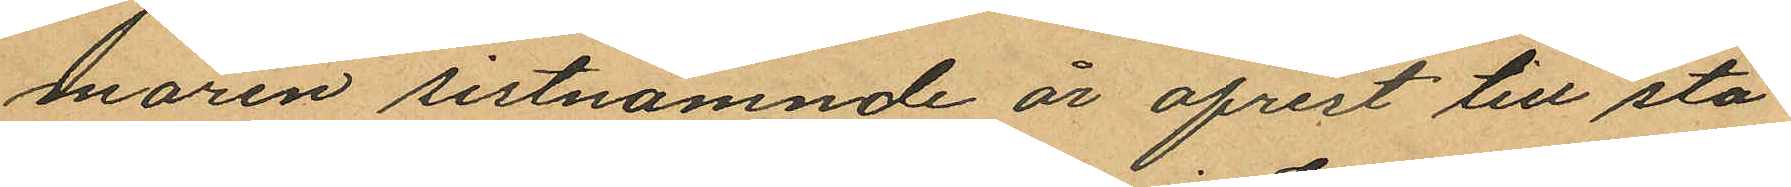maren sistnämnde år afrest till sta¬
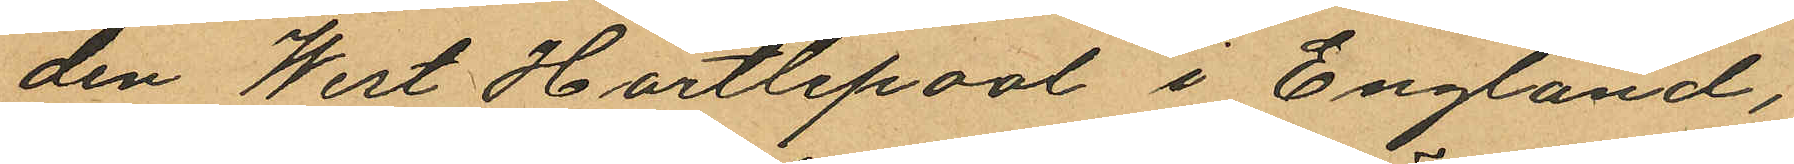den West Hartlepool i England,
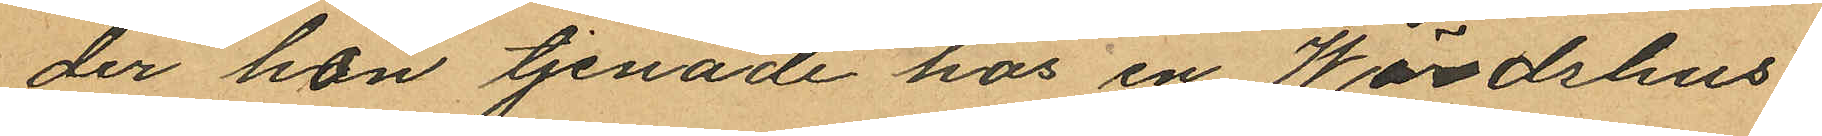der han tjenade hos en Wärdshus¬
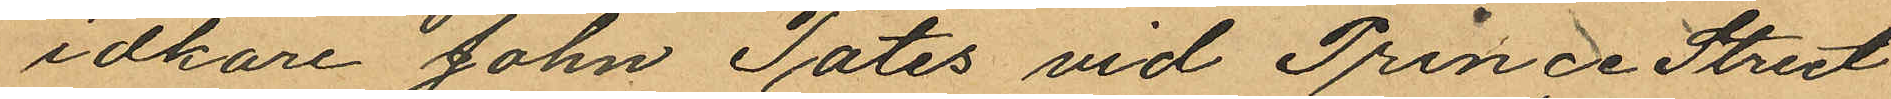idkare John Tates vid Prince Street
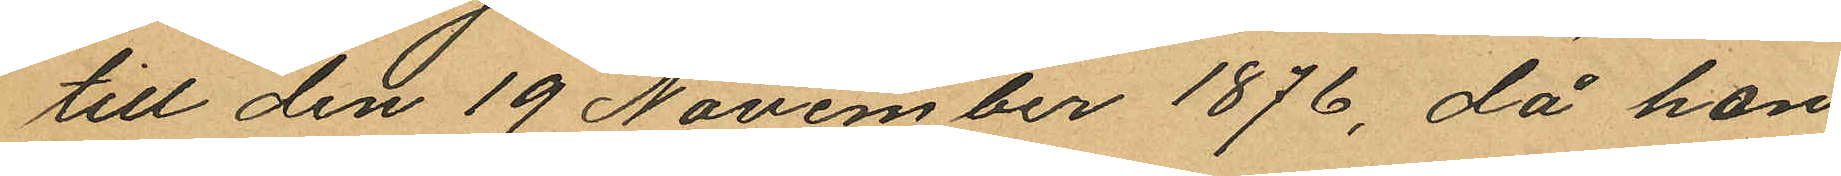till den 19 November 1876, då hon
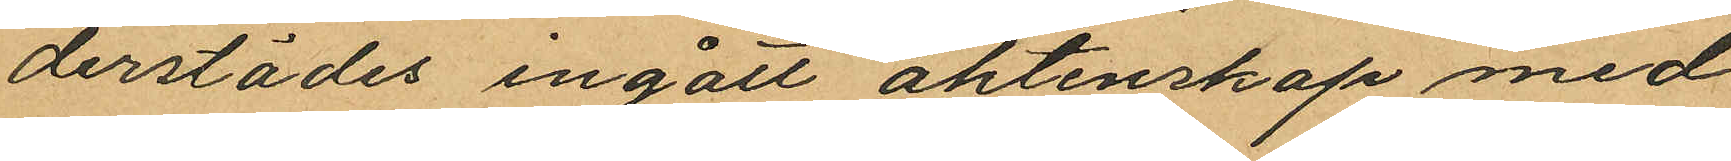derstädes ingått äktenskap med
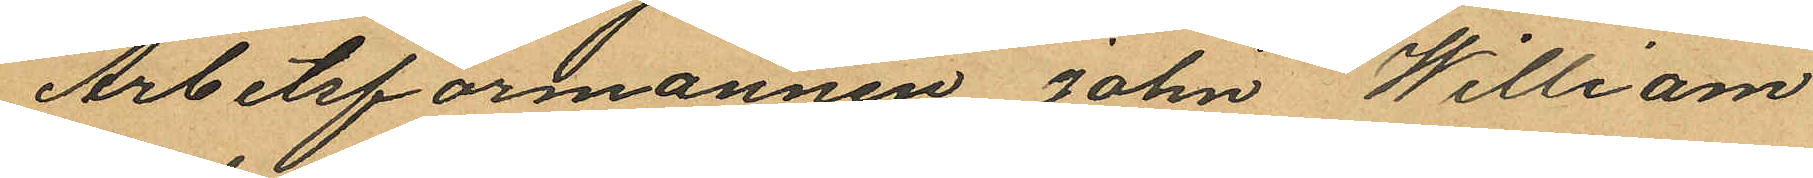Arbetsförmannen John William
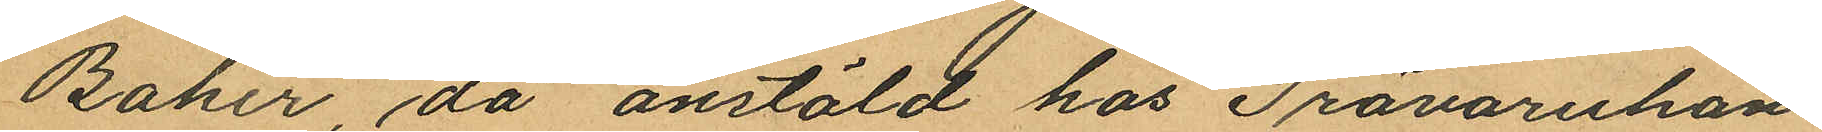Baker, då anstäld hos Trävaruhan¬
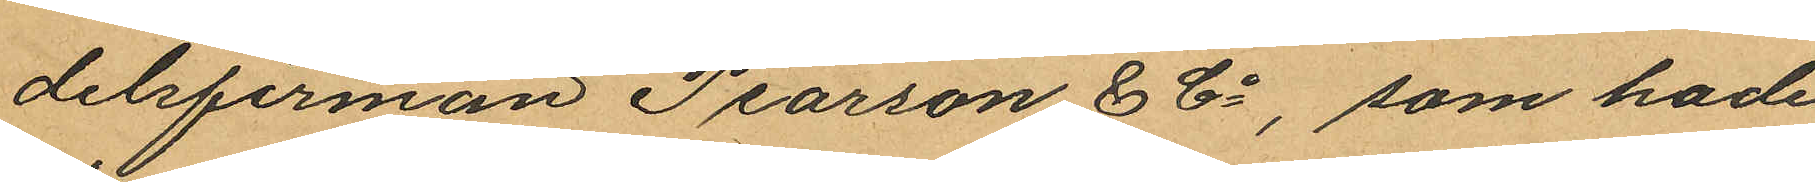delsfirman Pearson & Co, som hade
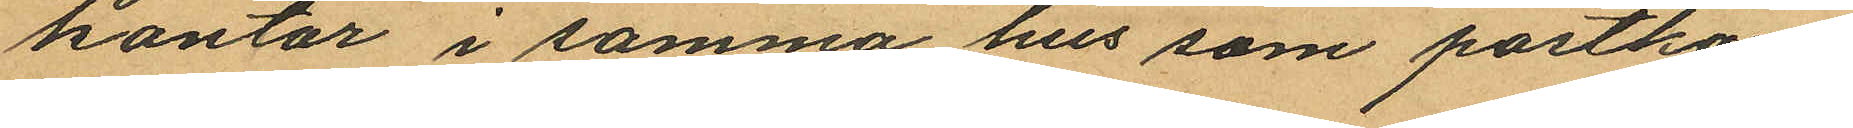kontor i samma hus som postkon¬
